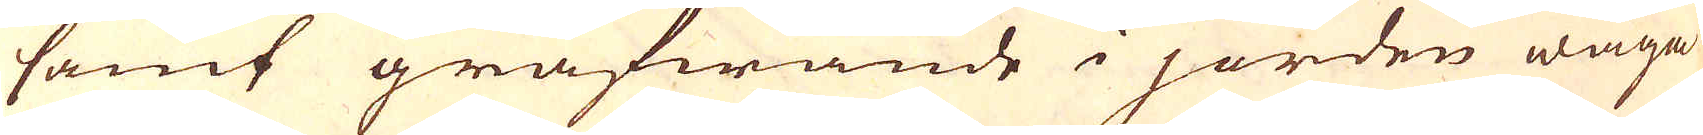samt gräfwande i jorden wåga
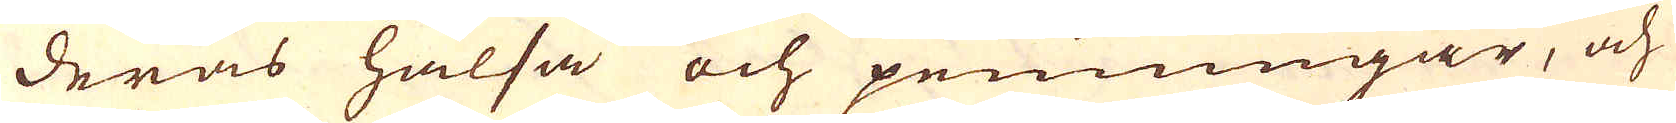deras hälsa och penningar, och
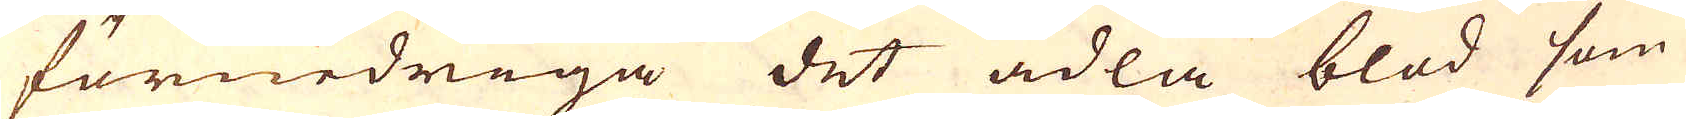förnedriga det ädla blod som
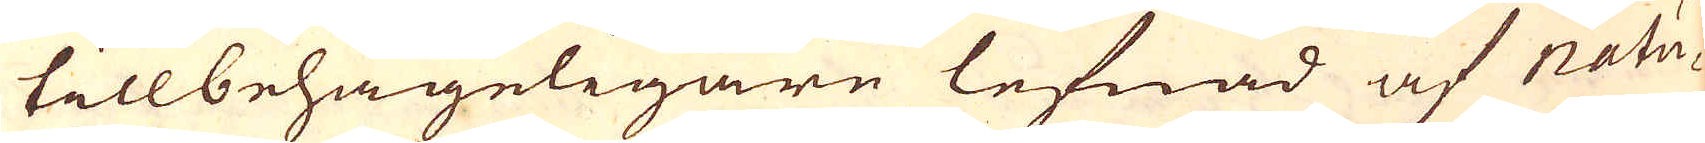till behageligare lefnad af Natu-
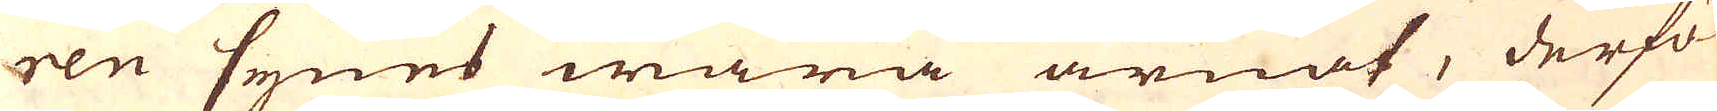ren synes wara ärnat, derfö-
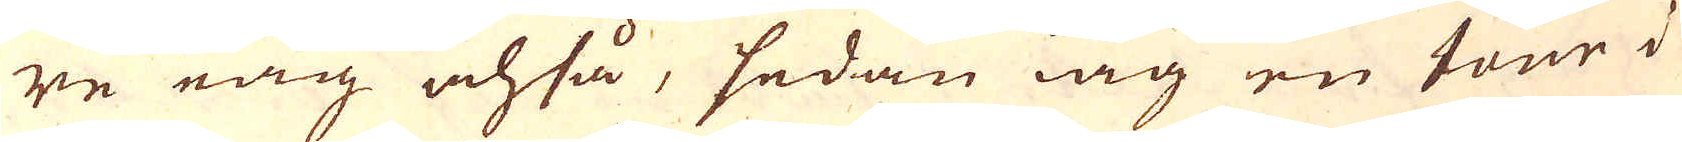re iag ochså, sedan iag en tour i
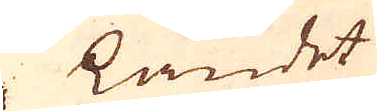landet
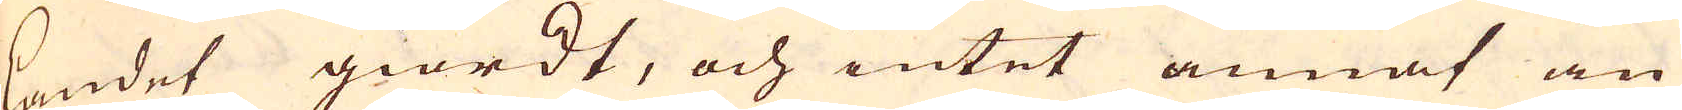landet giordt, och intet annat än
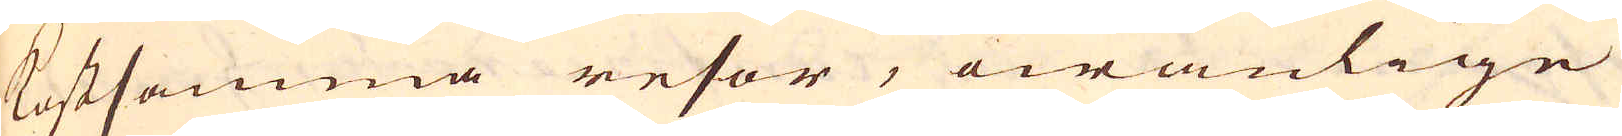Kostsamma resor, owanlige
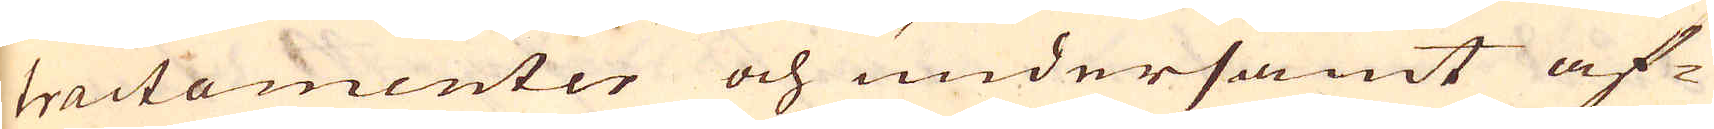tractamenter och undersamt af-
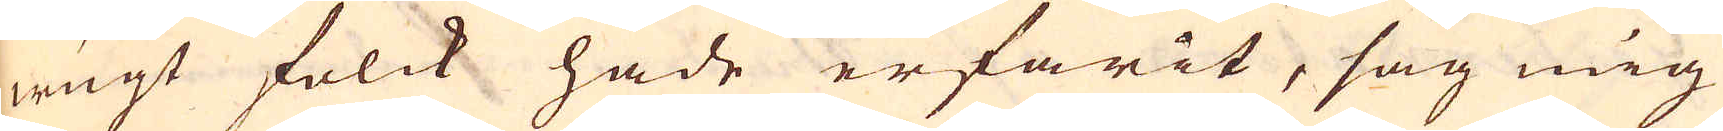wugt folck hade erfarit, såg mig
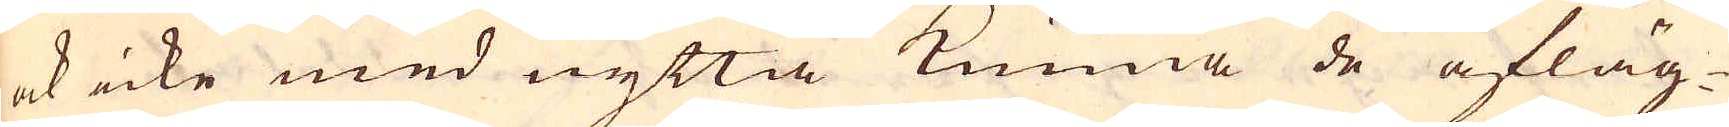ock icke med nytta kunna de afläg-
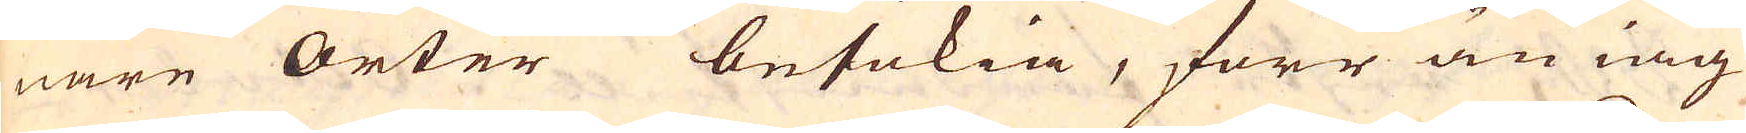nare orter besökia, förr än iag
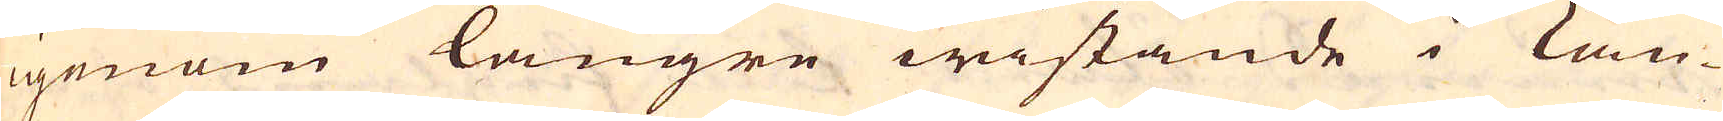igenom längre wistande i Lan-
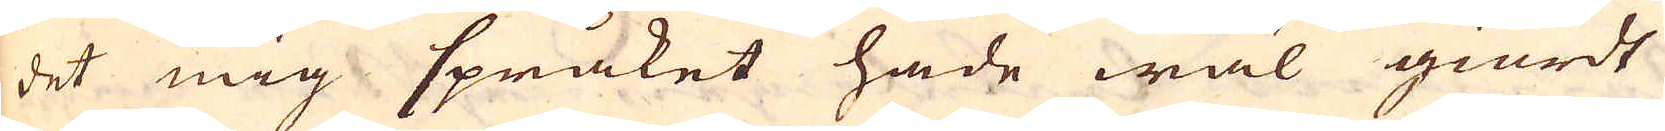det mig språket hade wäl giordt
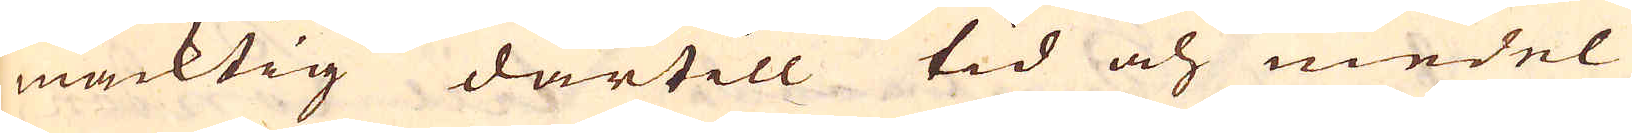mäcktig därtill tid och medel
